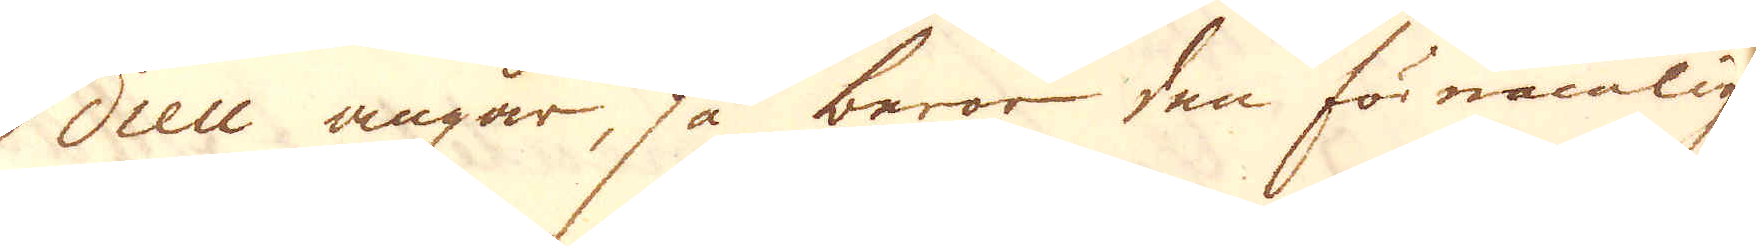dieu angår så beror den förnämligen
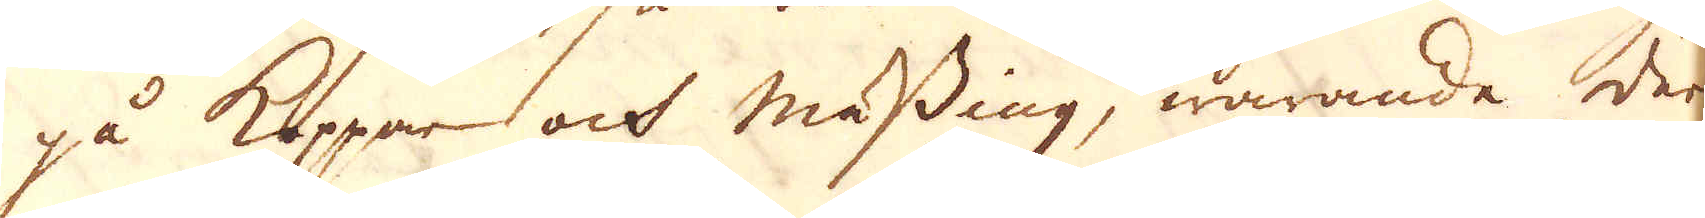på Koppar och mässing, warande der
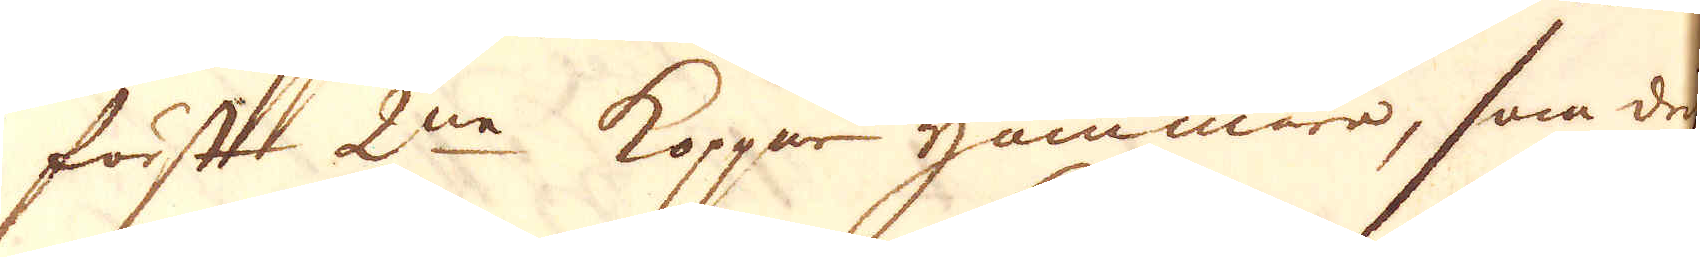först 2ne Koppar hammare, som drif-
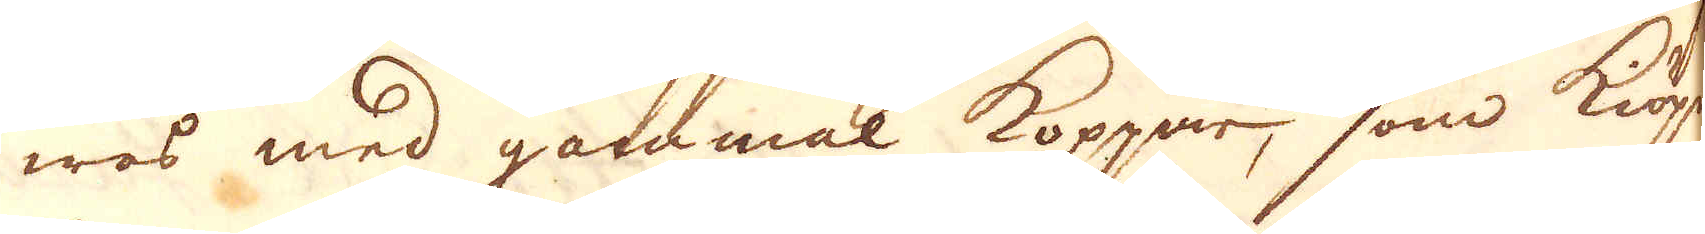was med gammal koppar, som kiöpes
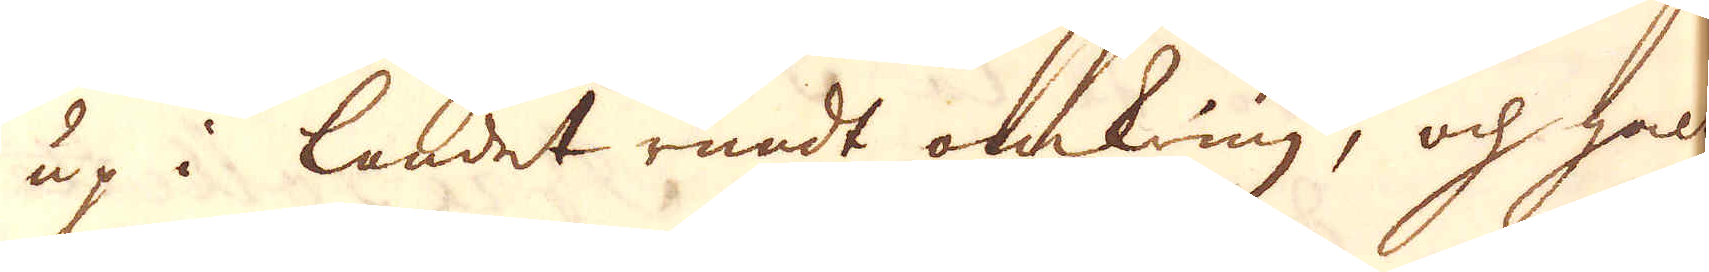up i landet rundt omkring, och galt
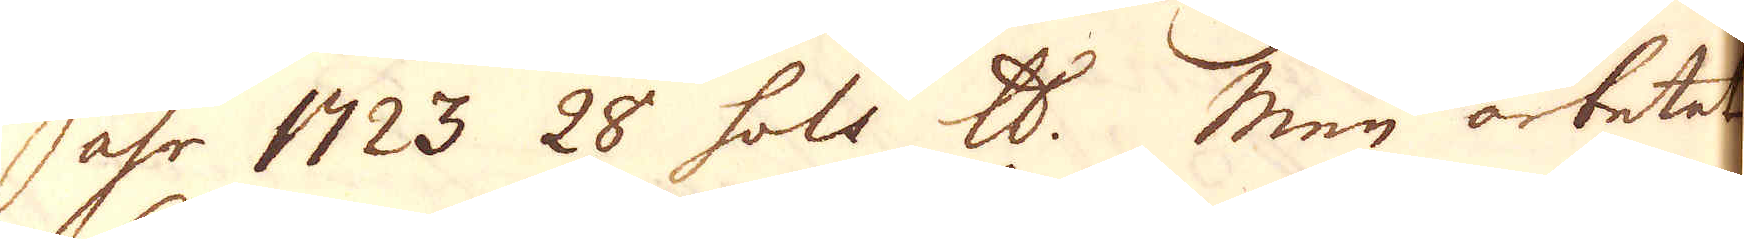åhr 1723 28 sols skålpund. Men arbetet
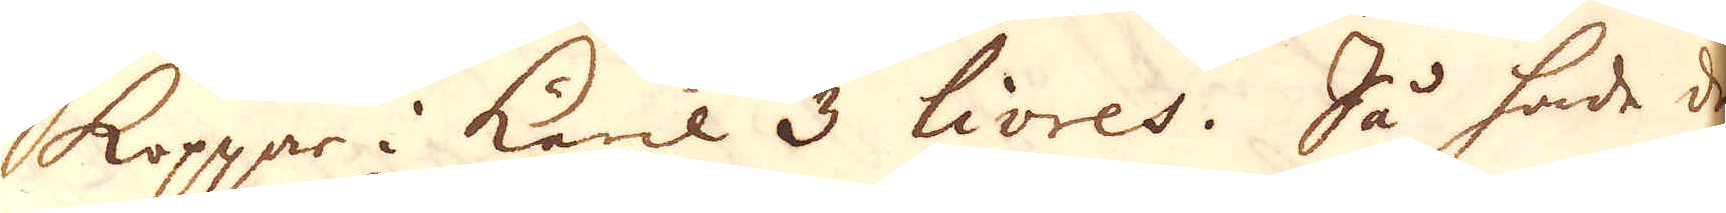koppar i käril 3 livres. Så hade de
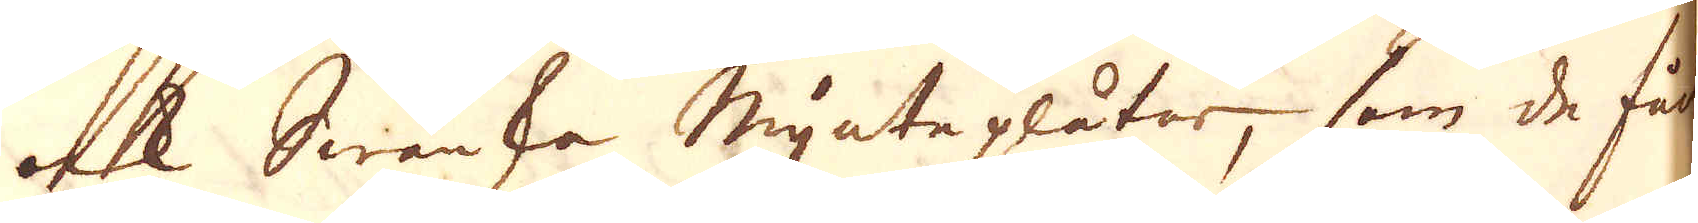ock Swänka mynteplåtar, som de får
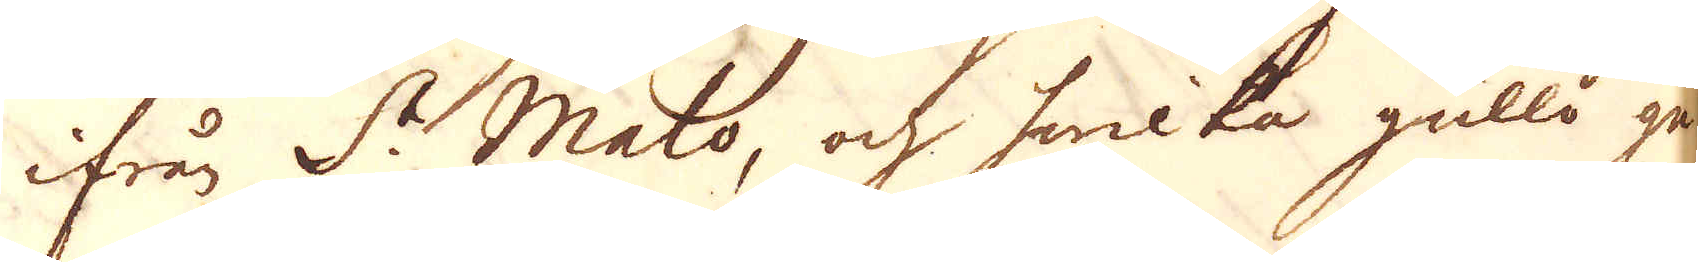ifrån St Malo, och hwilka gullo ge-
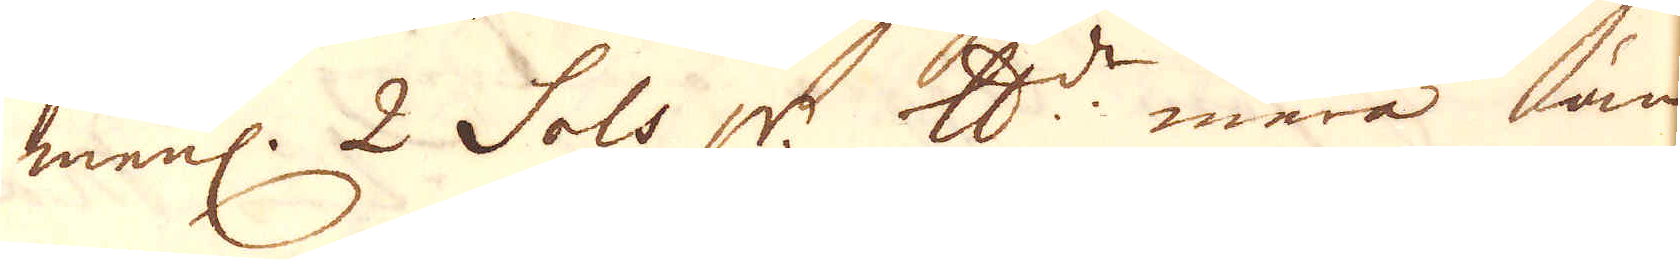menl. 2 Sols pr. skålpund mera än
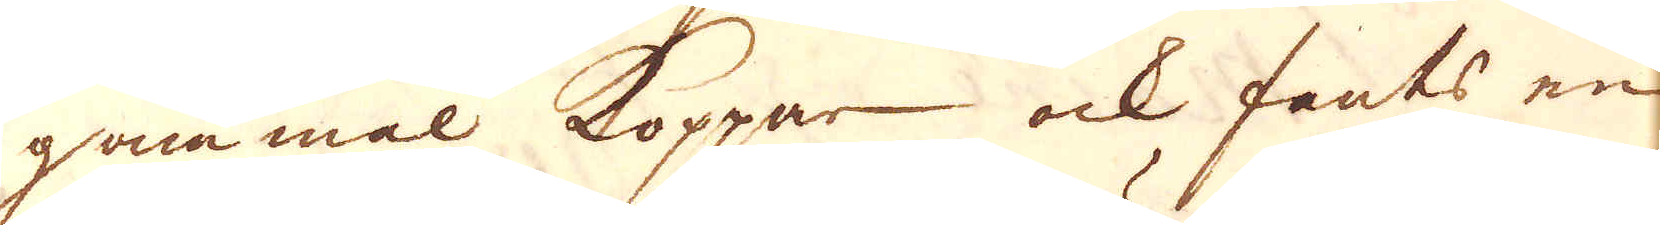gammal koppar ock fants en
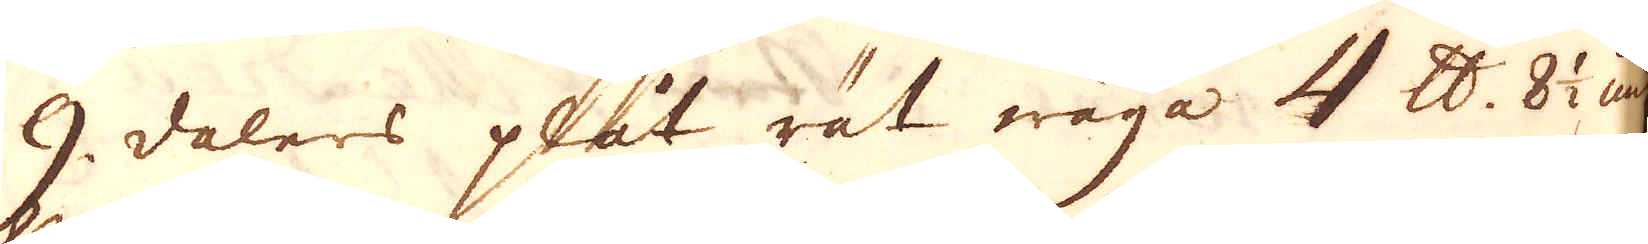9 dalers plåt rät wäga 4 skålpund 8 1/2 ung.
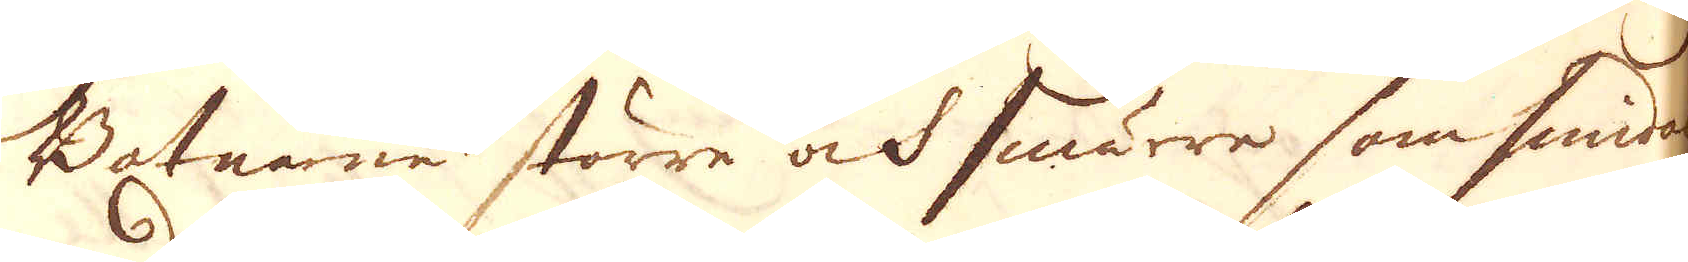Botnarne större ock smärre som smidas
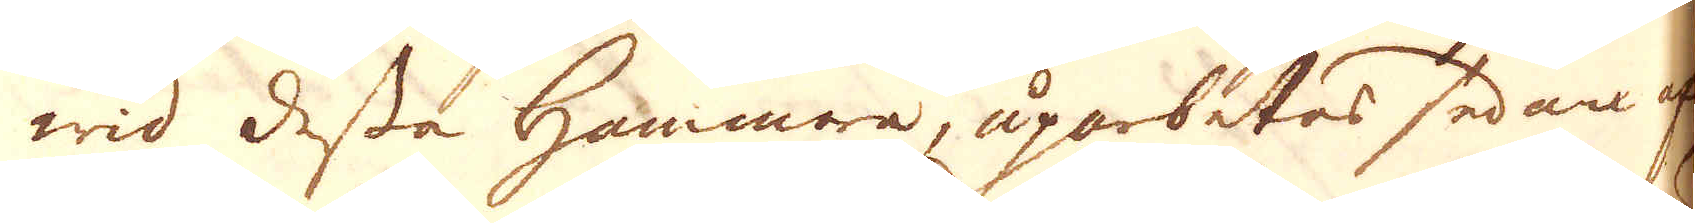wid dessa Hammare, uparbetas sedan af
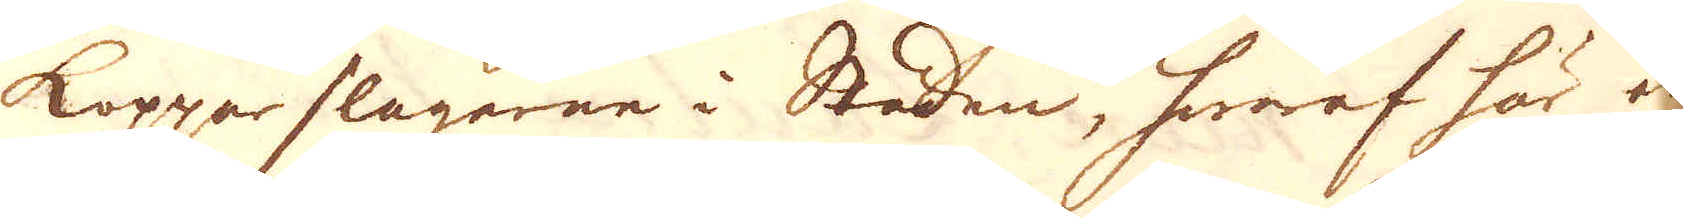kopparslagarne i Staden, hwaraf här är
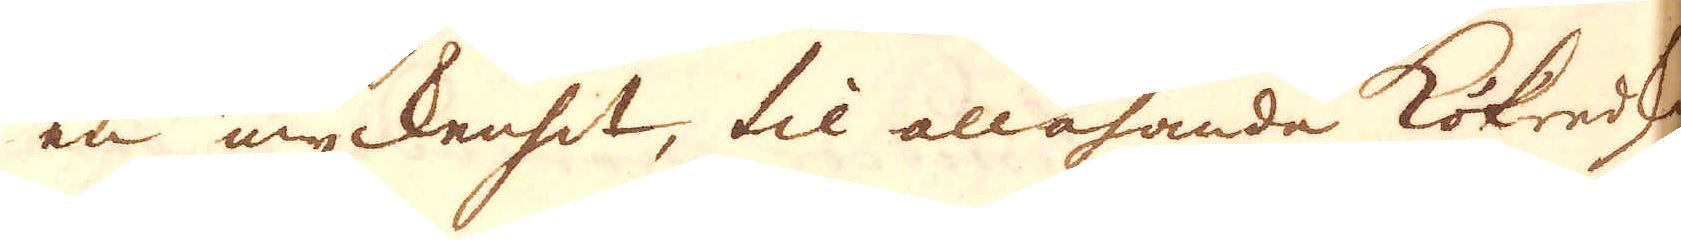en myckenhet, til allahanda köksredskap
